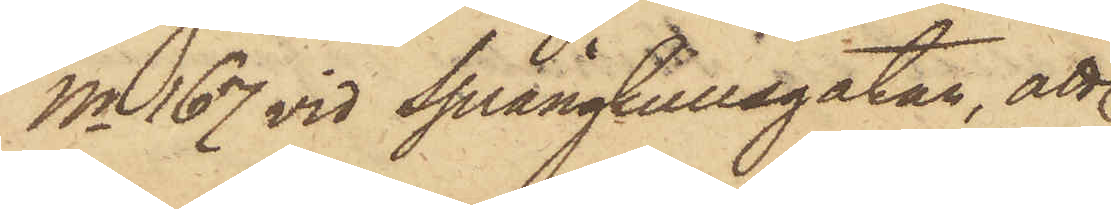No 167 vid Sprängkullsgatan, att
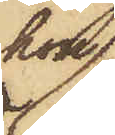hon
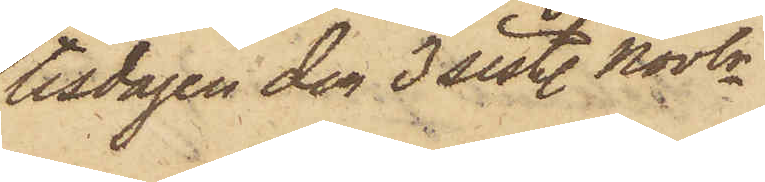tisdagen den 3 sistl. Novbr
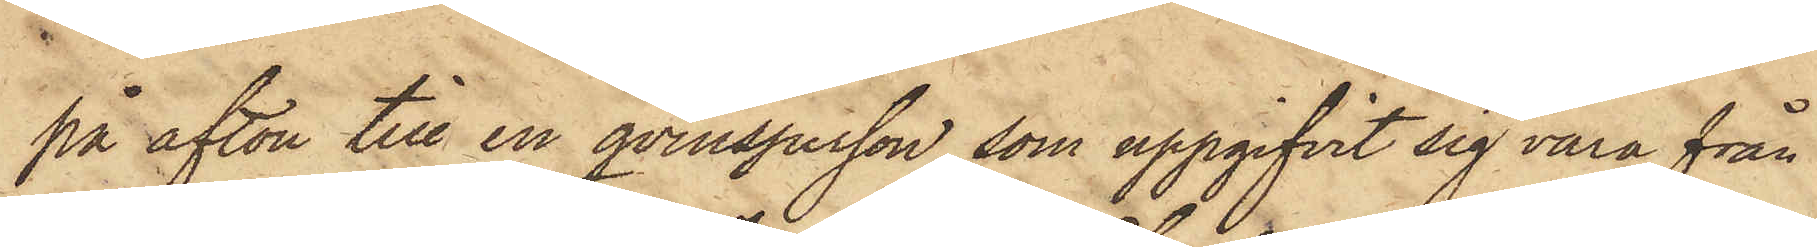på afton till en qvinsperson, som uppgifvit sig vara från
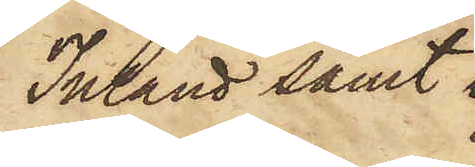Inland samt
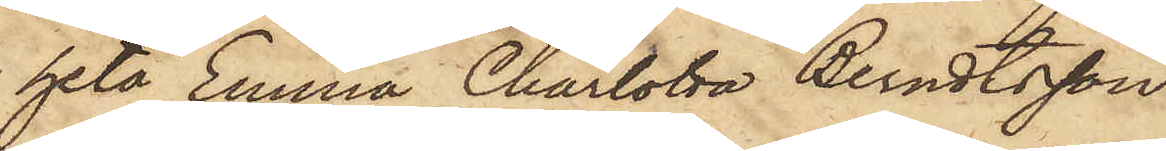heta Emma Charlotta Berndtsson
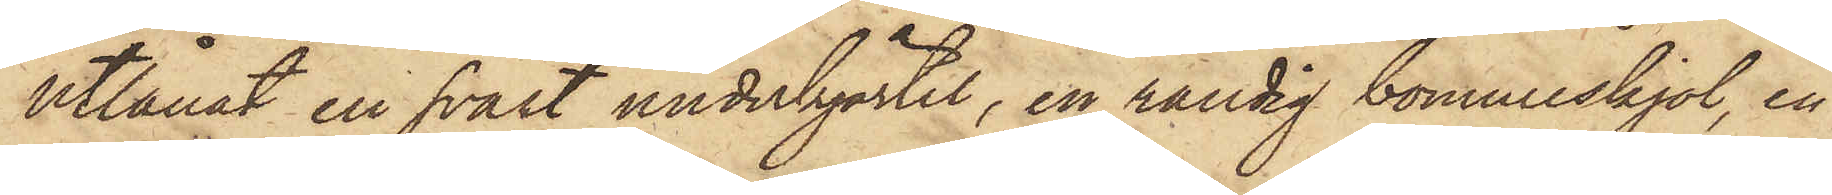utlånat en svart underkjortel, en randig bomullskjol, en
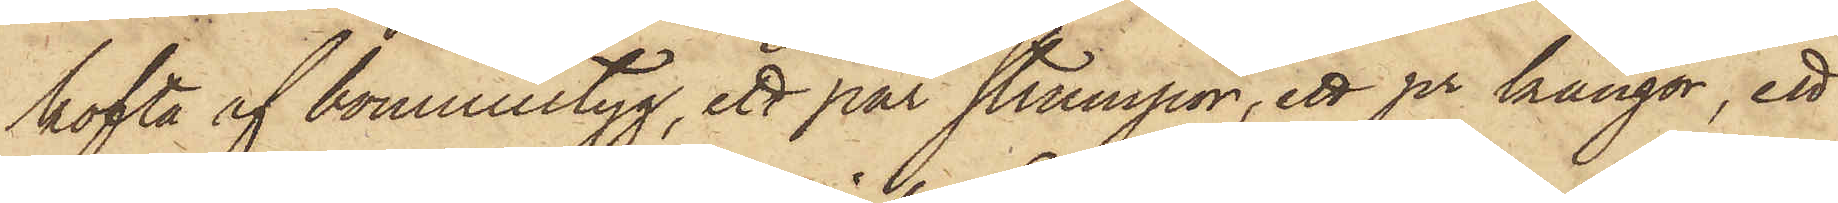kofta af bomullstyg, ett par strumpor, ett pr kängor, ett
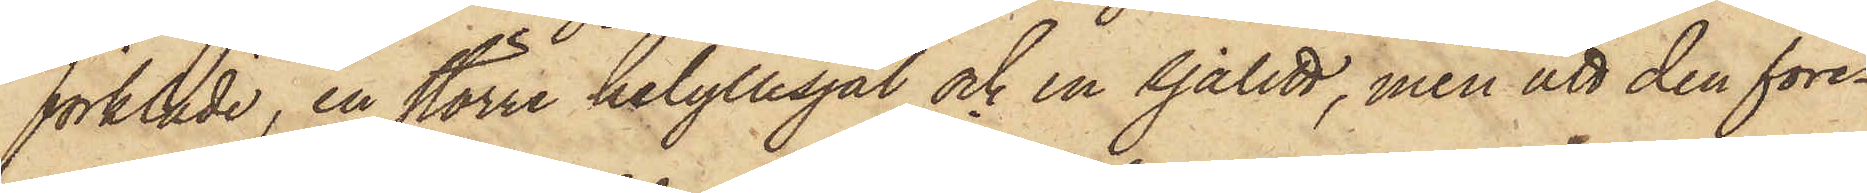förkläde, en större helyllesjal och en sjalett, men att den före¬
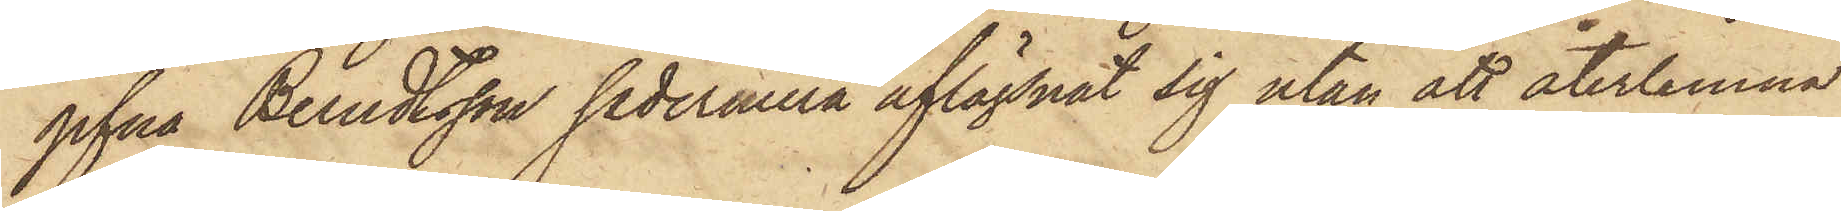gifna Berndtsson sedermera aflägsnat sig utan att återlemna
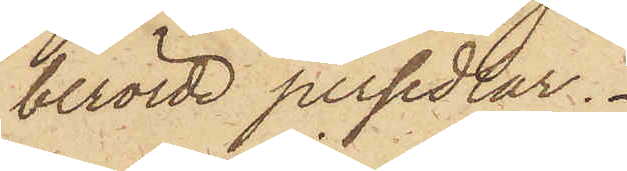berörde persedlar.
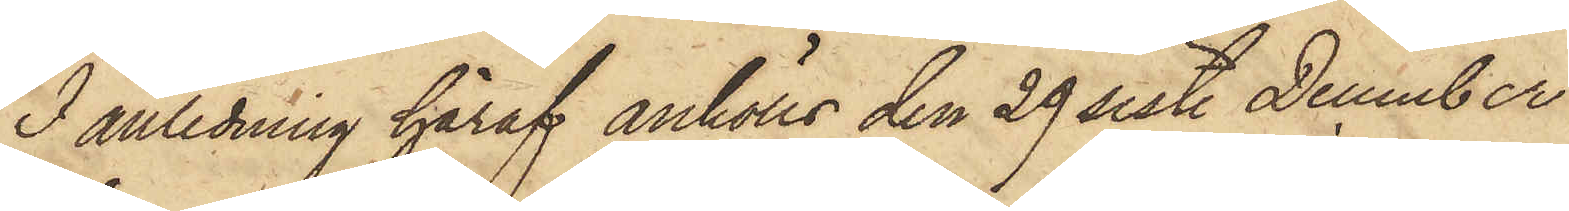I anledning häraf anhölls den 29 sist. December
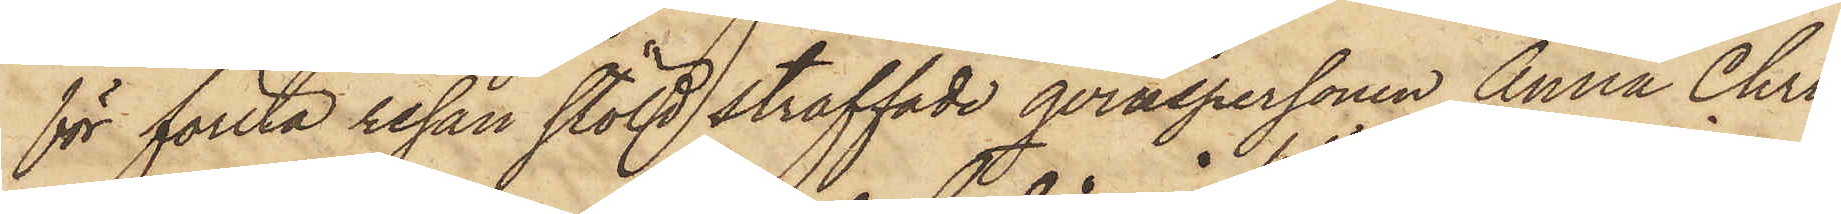för första resan stöld straffade qvinspersonen Anna Chri¬
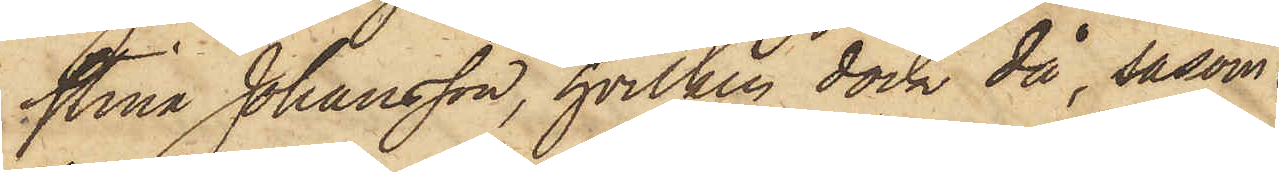stina Johansson, hvilken dock då, såsom
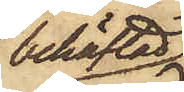behäftad
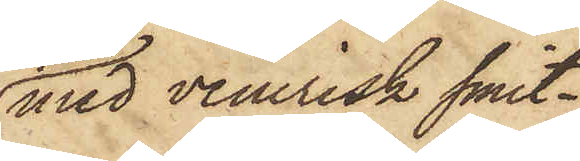med venerisk smit¬
